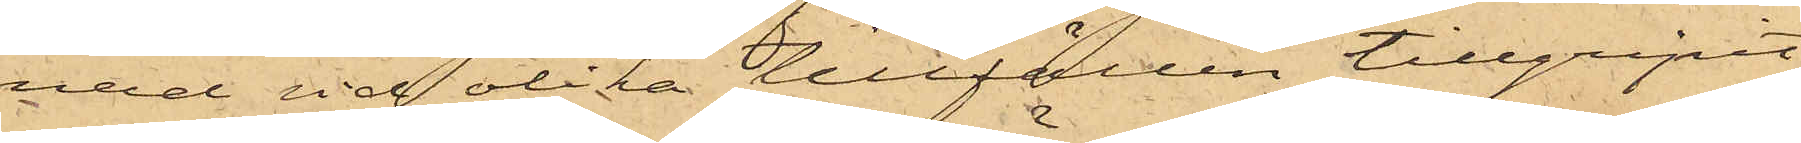nad vid olika tillfällen tillgripit
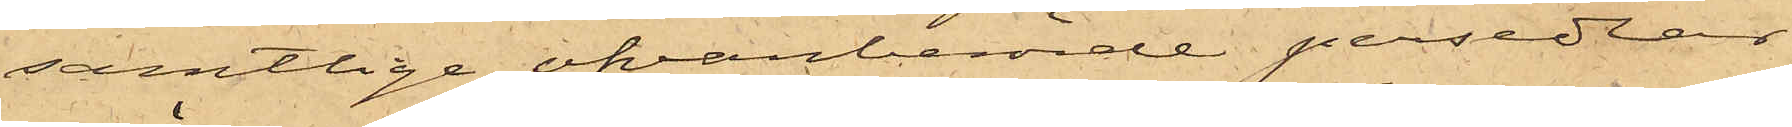samtlige ofvanberörde persedlar,
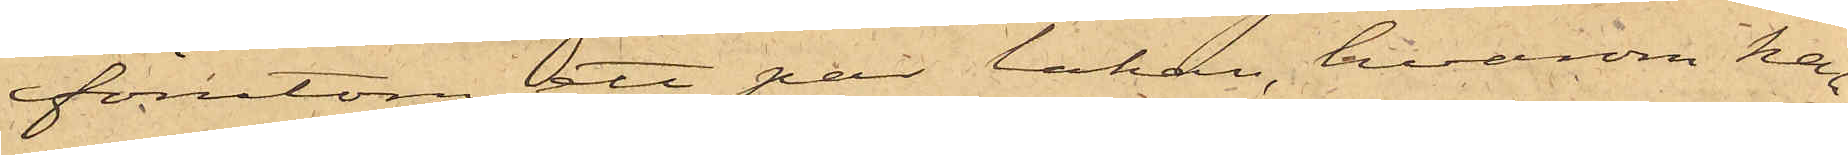förutom att par lakan, hvarom han
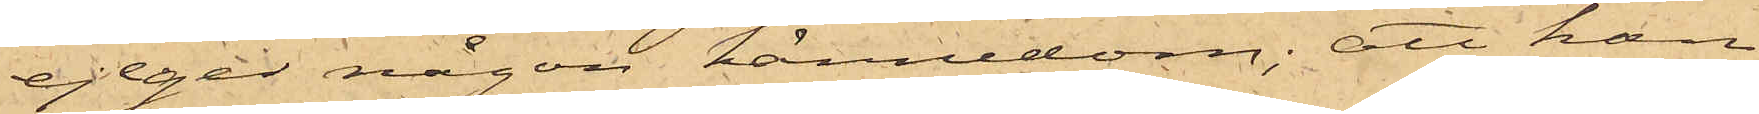ej eger någon kännedom; att han
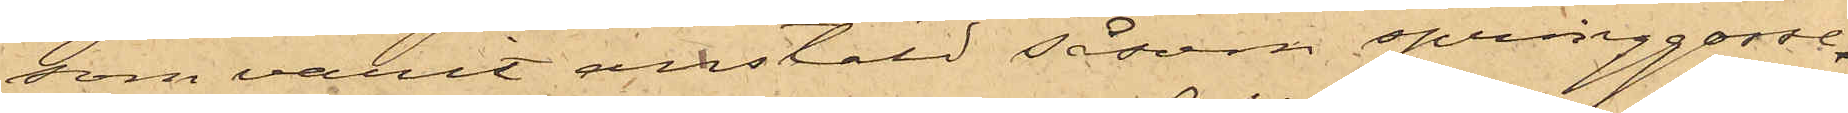som varit anstäld såsom springgosse
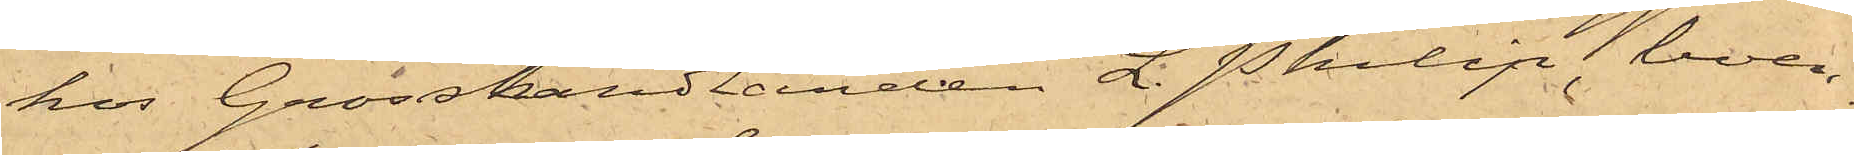hos Grosshandlanden L. Philip, boen¬
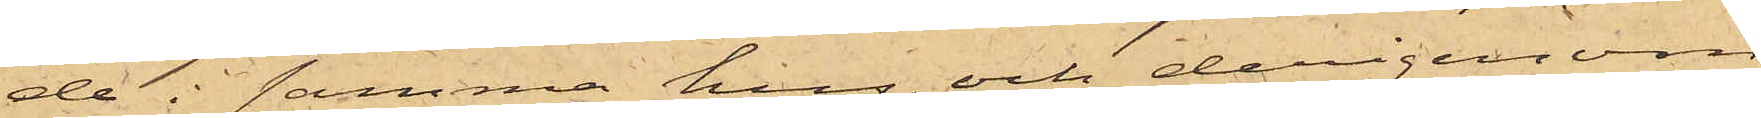de i samma hus, och derigenom
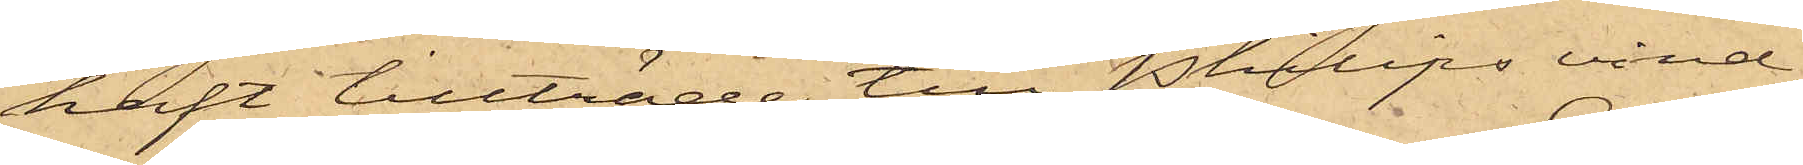haft tillträde till Philips vind,
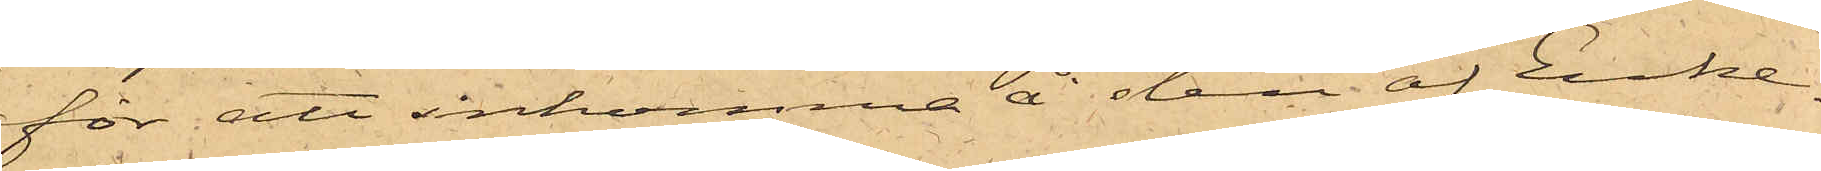för att inkomma å den af Enke¬
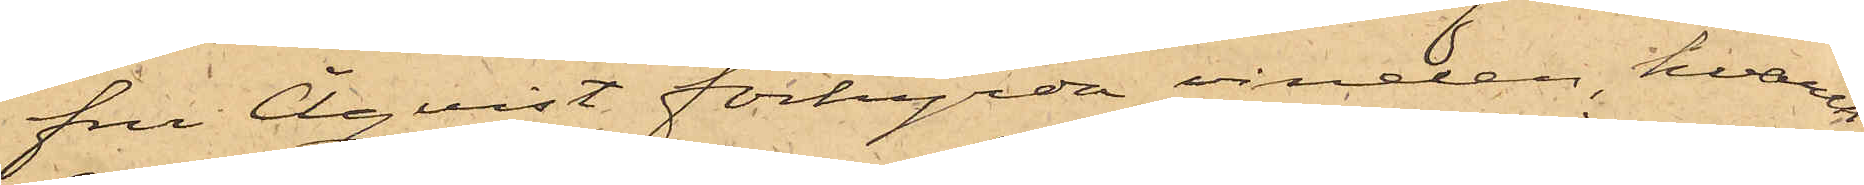fru Åqvist, förhyrda vinden, hvarest
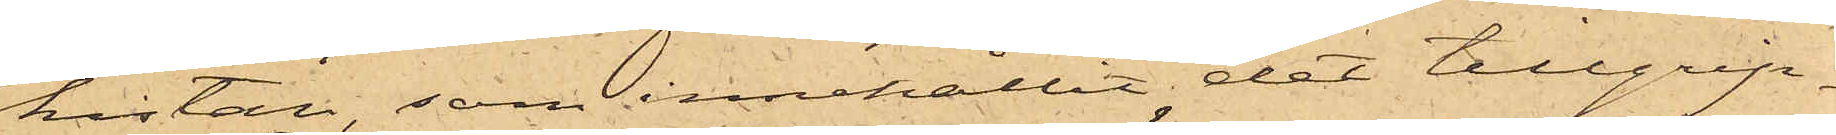kistan, som innehållit det tillgrip¬
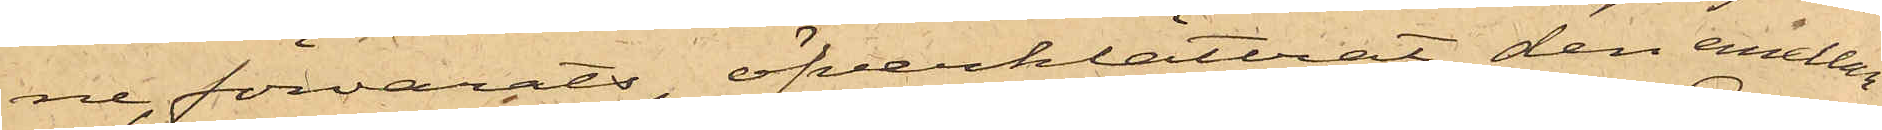ne, förvarats, öfverklättrat den emellan
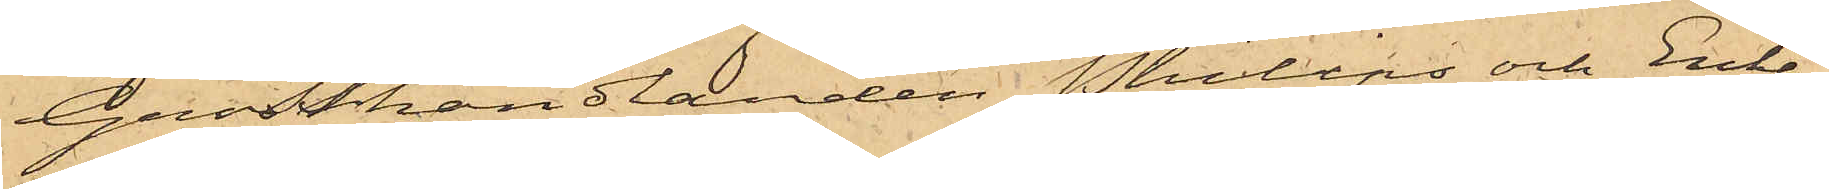Grosshandlanden Philips och Enke¬
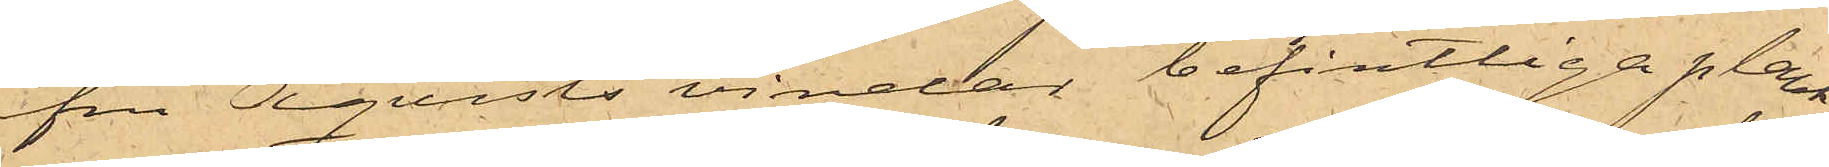fru Åqvists vindar befintliga plank¬
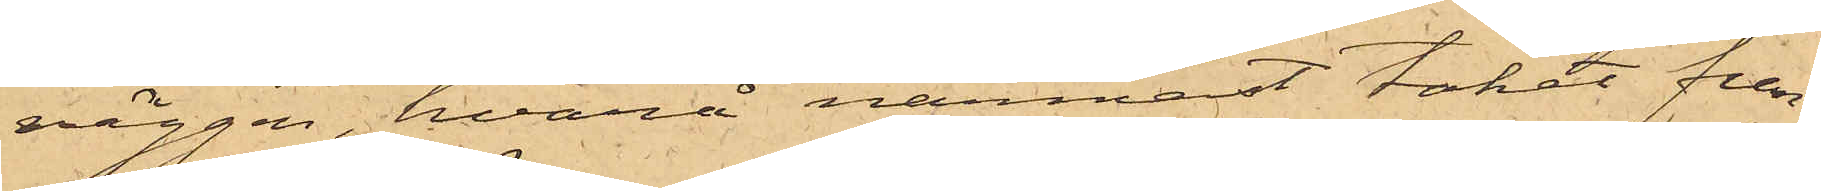väggen, hvarå närmast taket fun¬
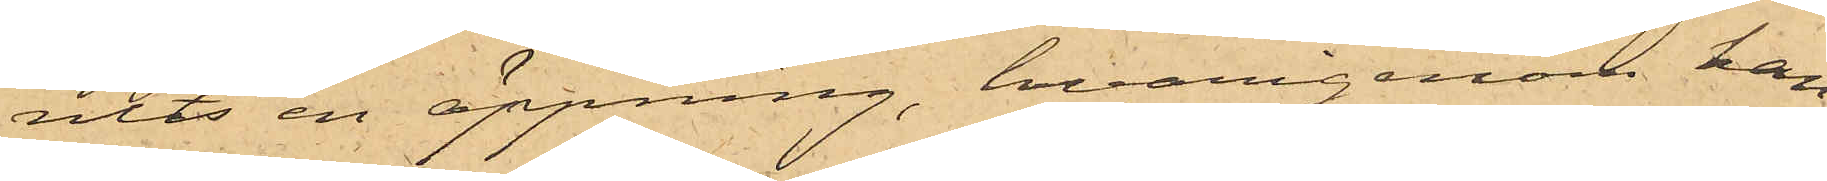nits en öppning, hvarigenom han
